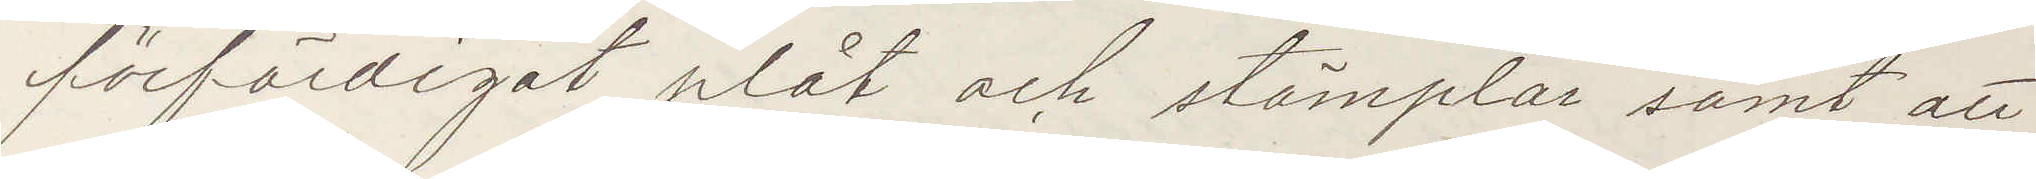förfärdigat plåt och stämplar samt att
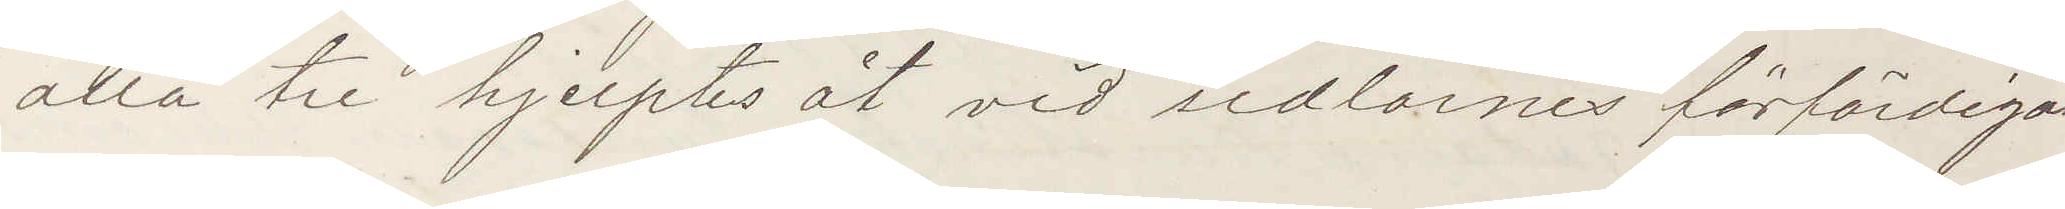alla tre hjelptes åt vid sedlarnes förfärdigan¬
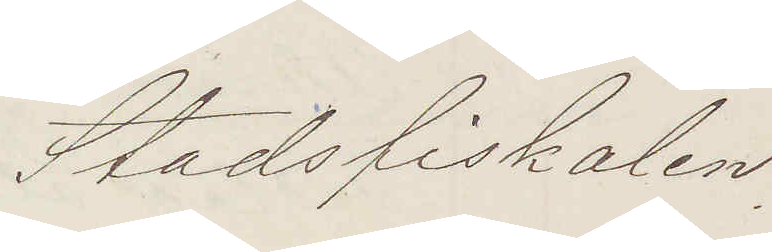Stadsfiskalen
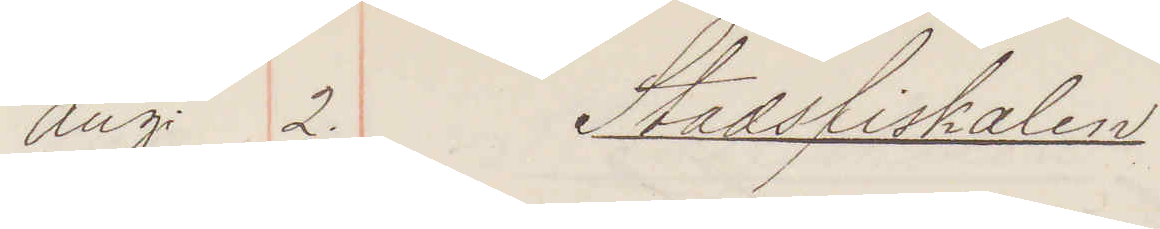Aug 2. Stadsfiskalen
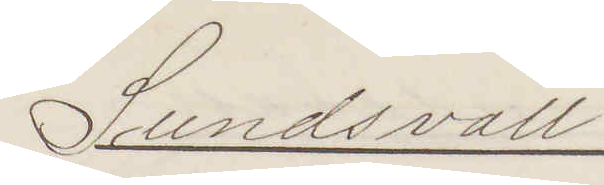Sundsvall
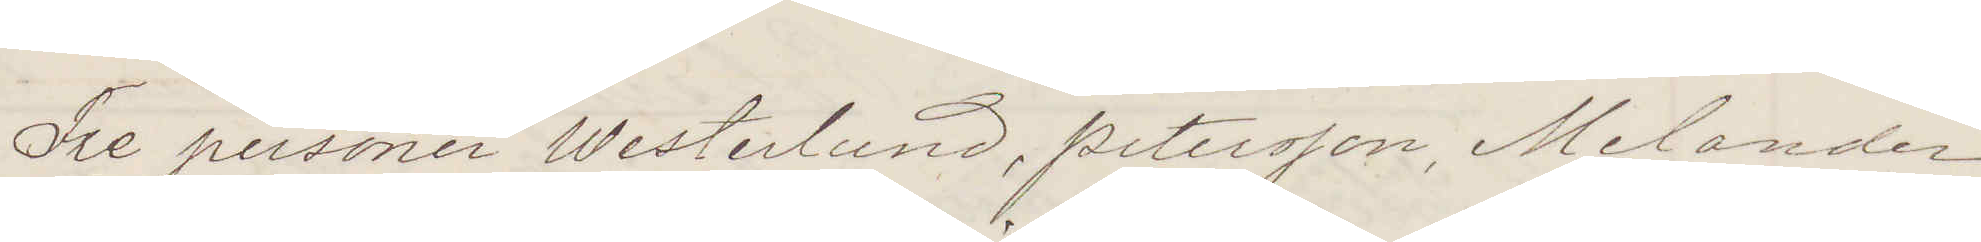Tre personer Westerlund, Petersson, Melander
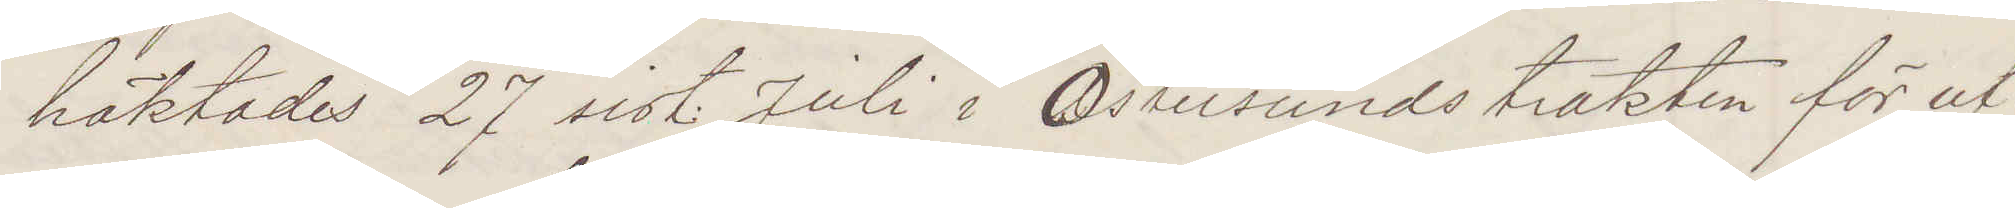häktades 27 sist. Juli i Östersundstrakten för ut¬
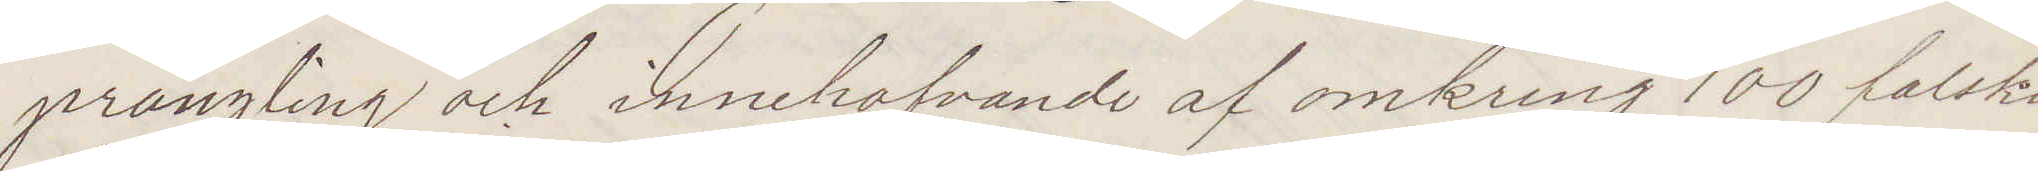prångling och innehafvande af omkring 100 falska
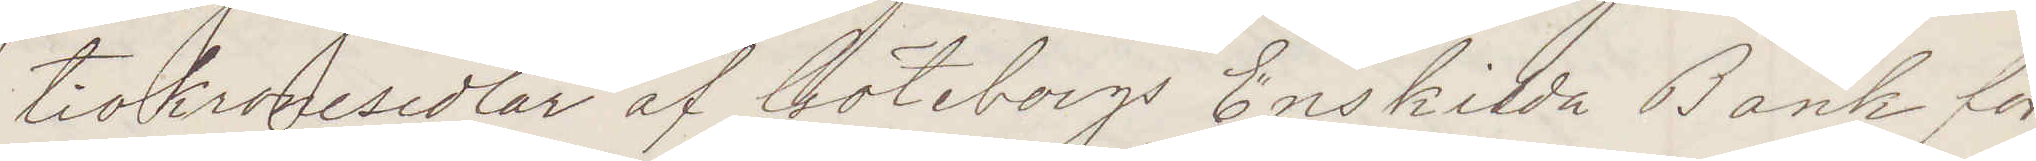tiokronosedlar af Göteborgs Enskilda Bank för
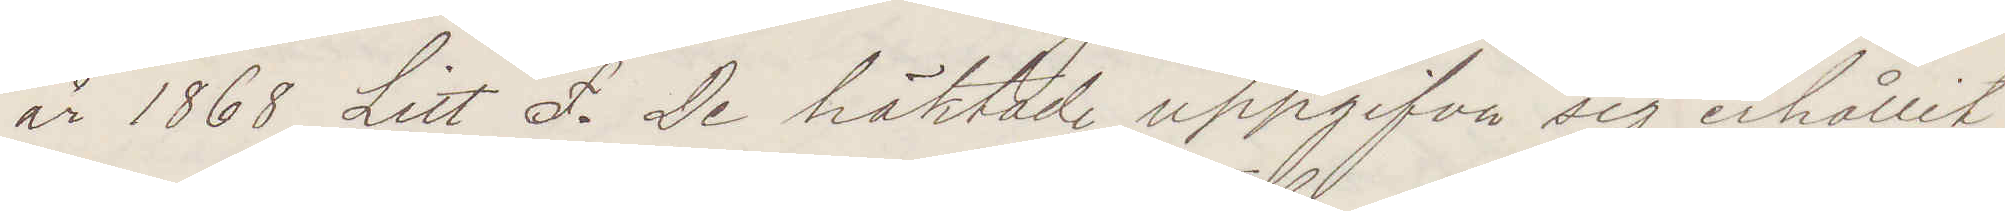år 1868 Litt S. D. De häktade uppgifva sig erhållit
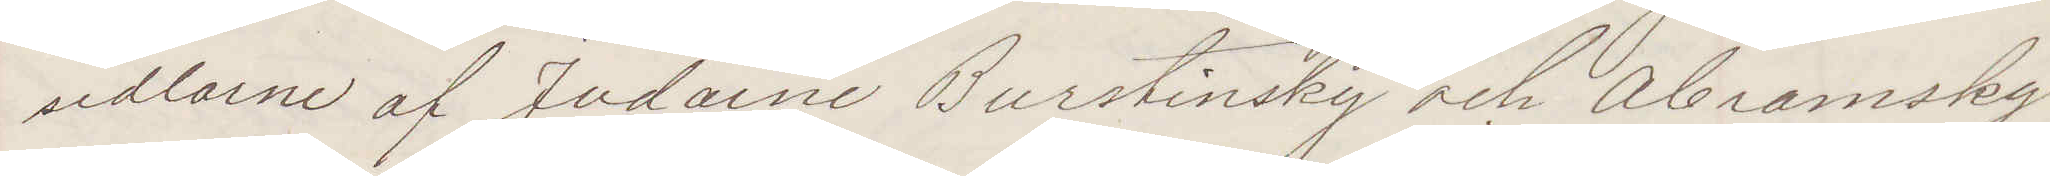sedlarne af Judarne Burstinsky och Abramsky
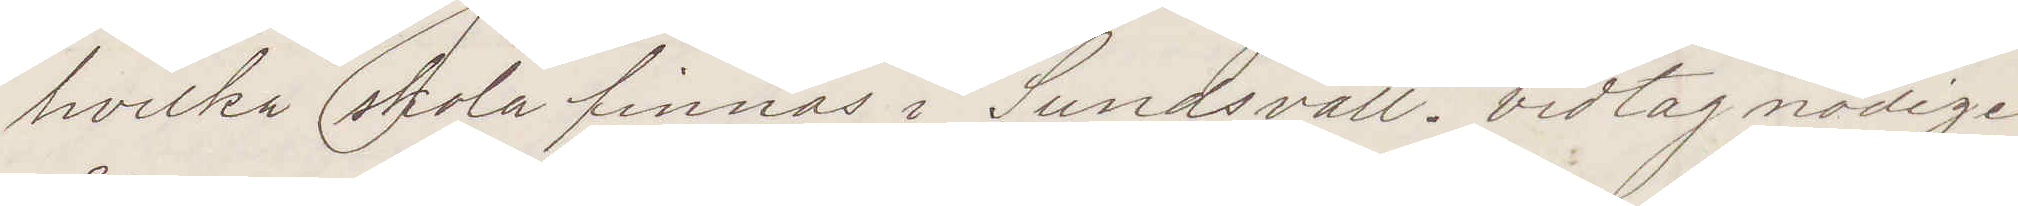hvilka skola finnas i Sundsvall. Vidtag nödige
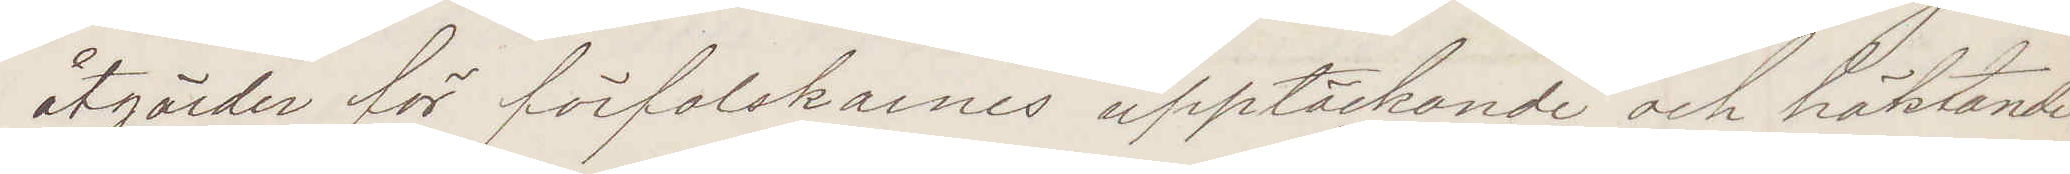åtgärder för förfalskarnes upptäckande och häktande
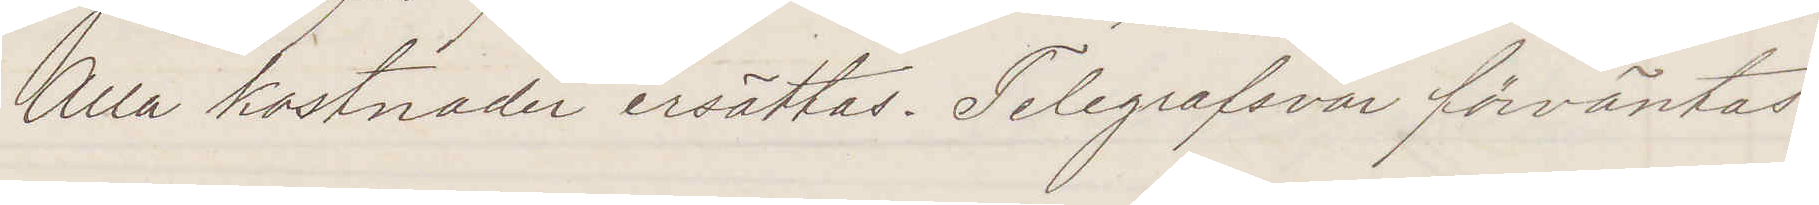Alla kostnader ersättas. Telegrafsvar förväntas.
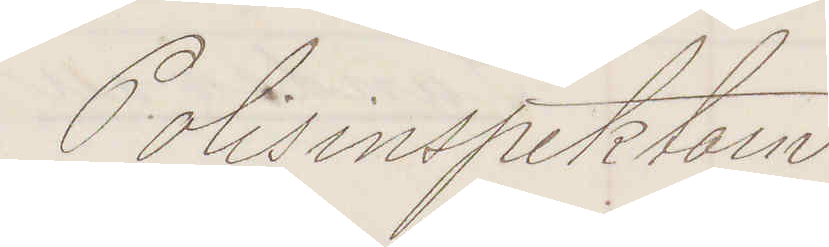Polisinspektorn
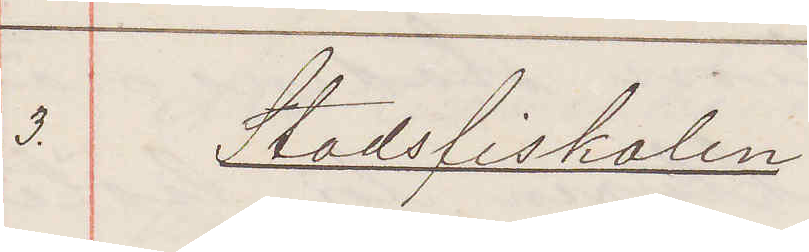3. Stadsfiskalen
